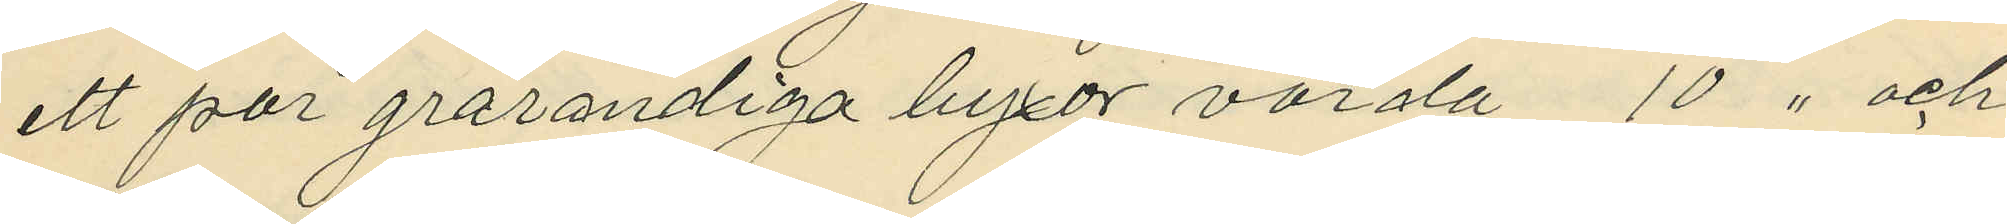ett par grårandiga byxor värda 10 " och
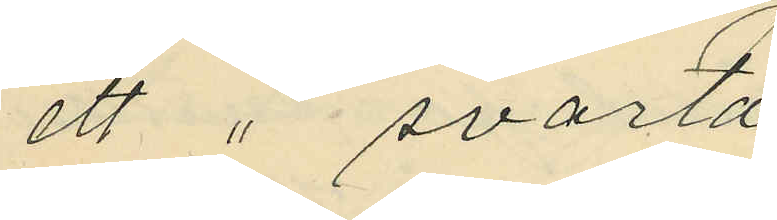ett " svarta
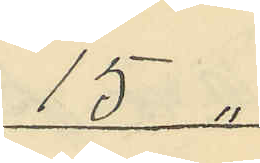15 "
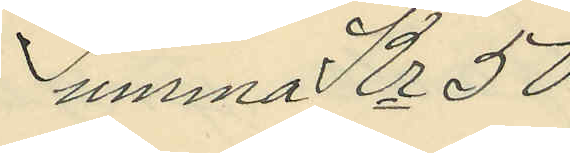Summa Kr 50
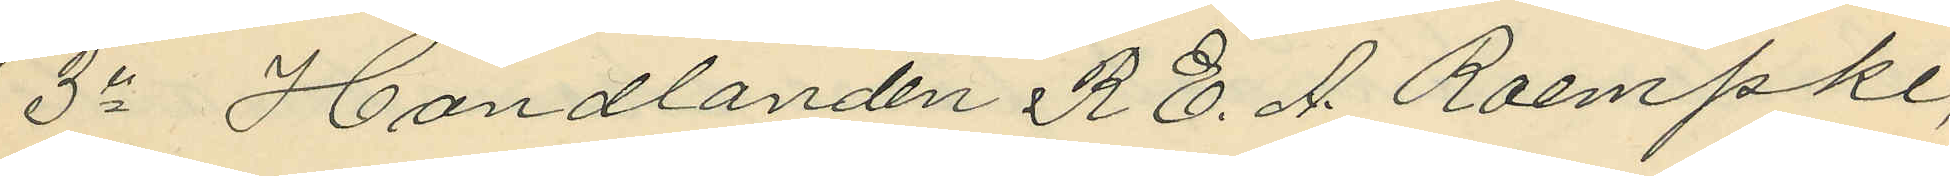3o Handlanden R. E. A. Roempke,
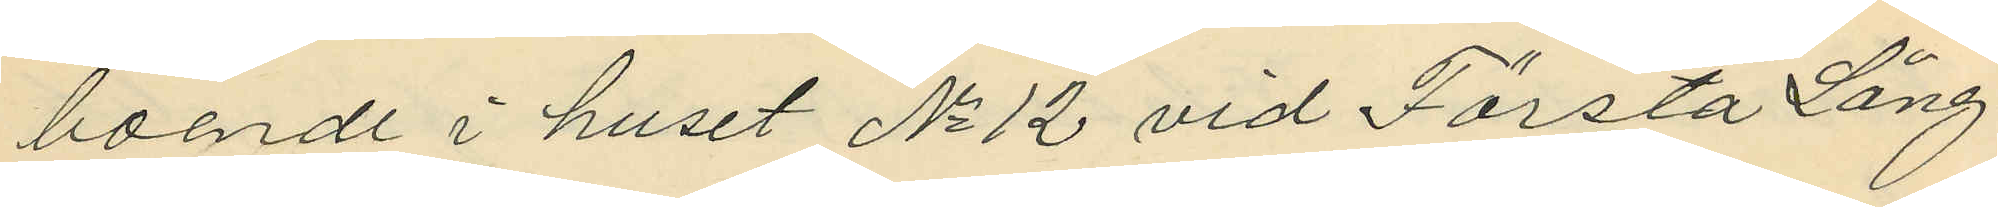boende i huset No 12 vid Första Lång¬
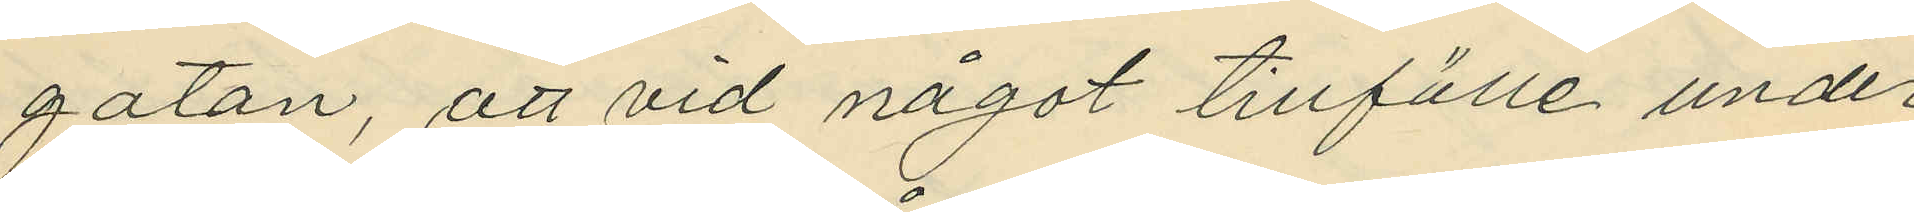gatan, att vid något tillfälle under
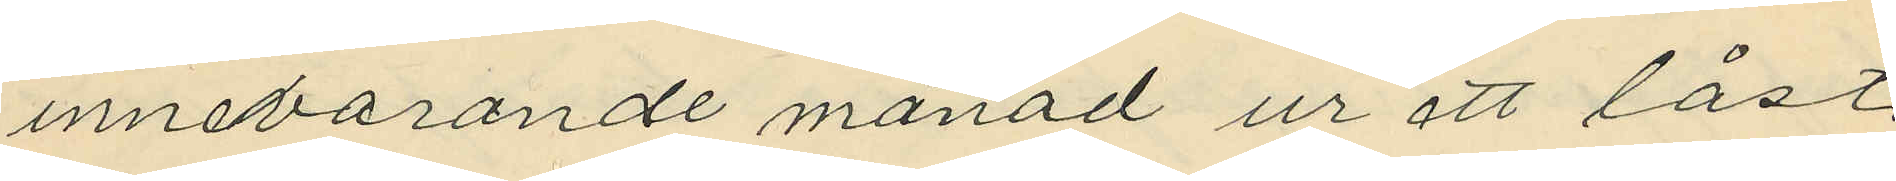innevarande månad ur ett låst
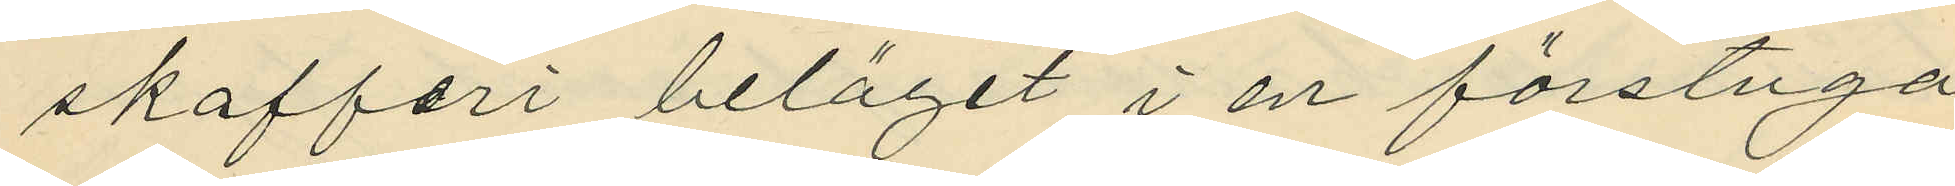skafferi beläget i en förstuga
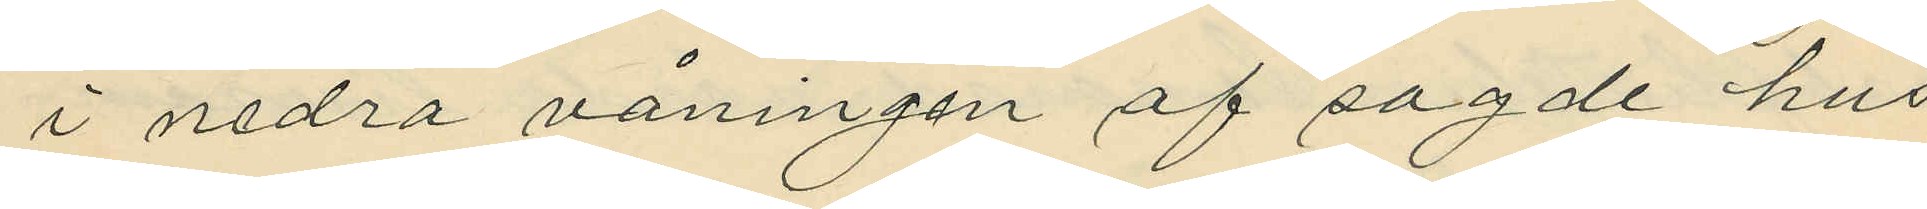i nedra våningen af sagde hus
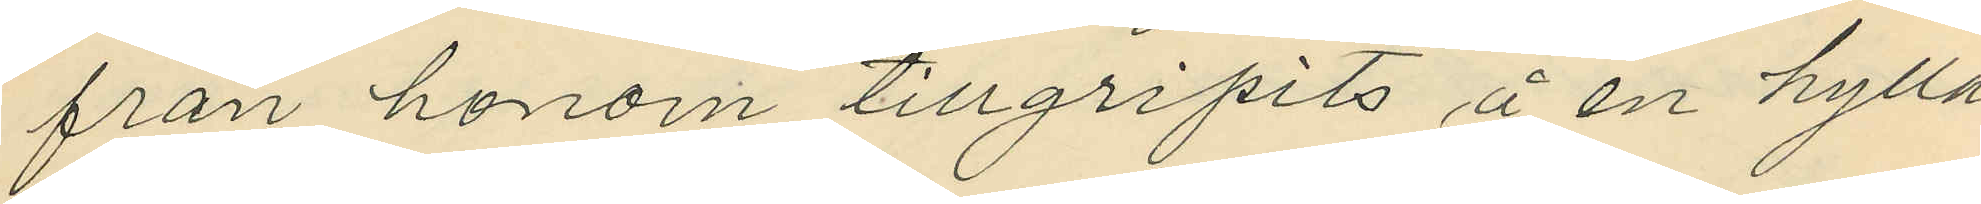från honom tillgripits å en hylla
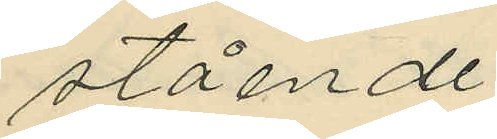stående
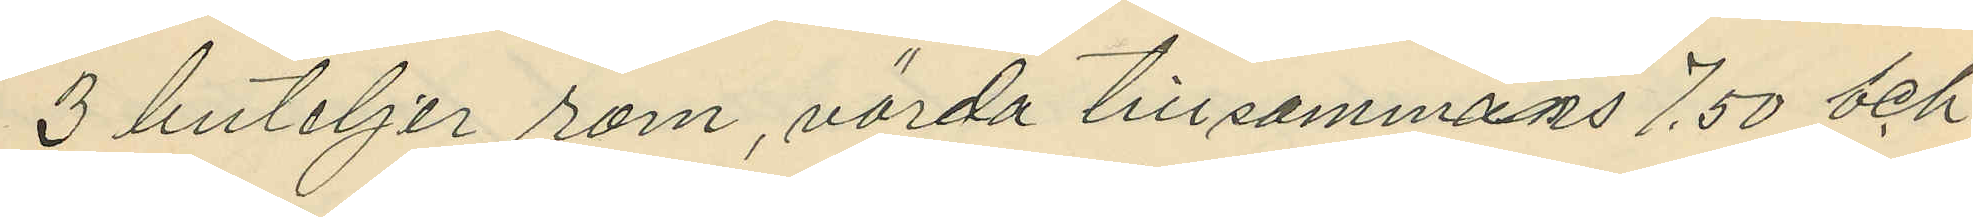3 buteljer rom, värda tillsammans 7,50 och
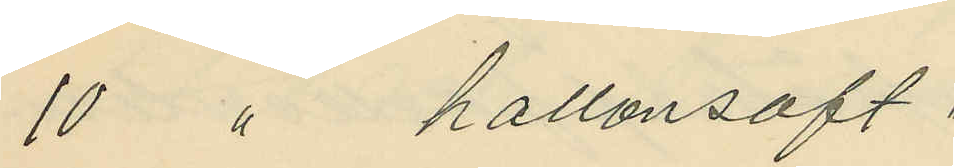10 " hallonsaft "
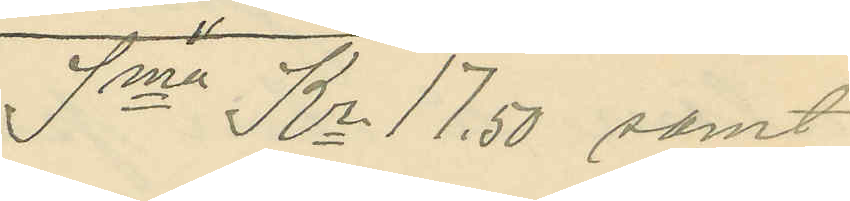Sma Kr 17,50 samt
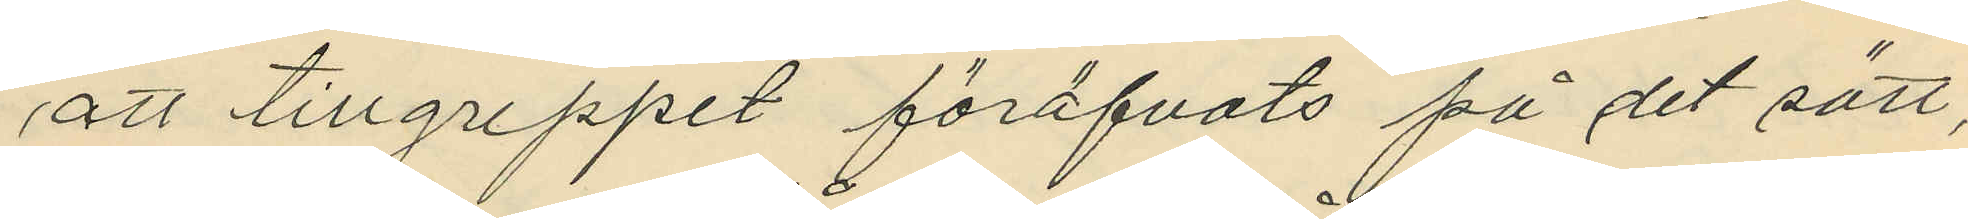att tillgreppet föröfvats på det sätt,
